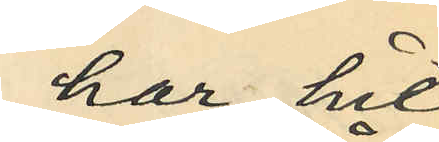har hit¬
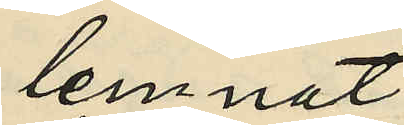lemnat
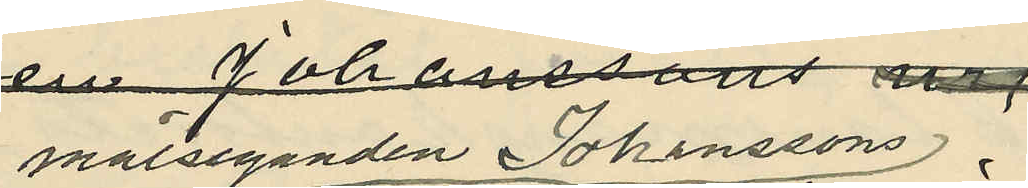målseganden Johanssons
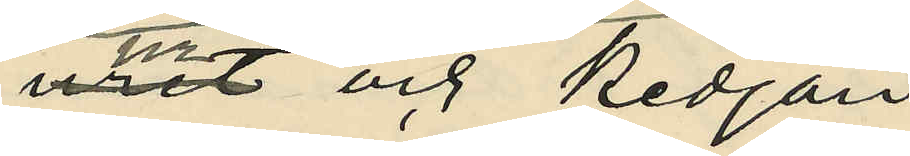ur och kedjan
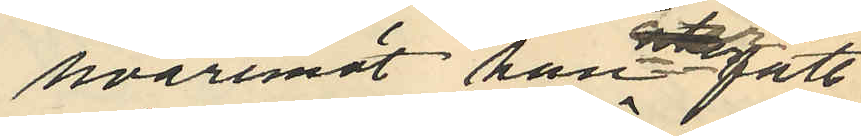hvaremot han inte fått
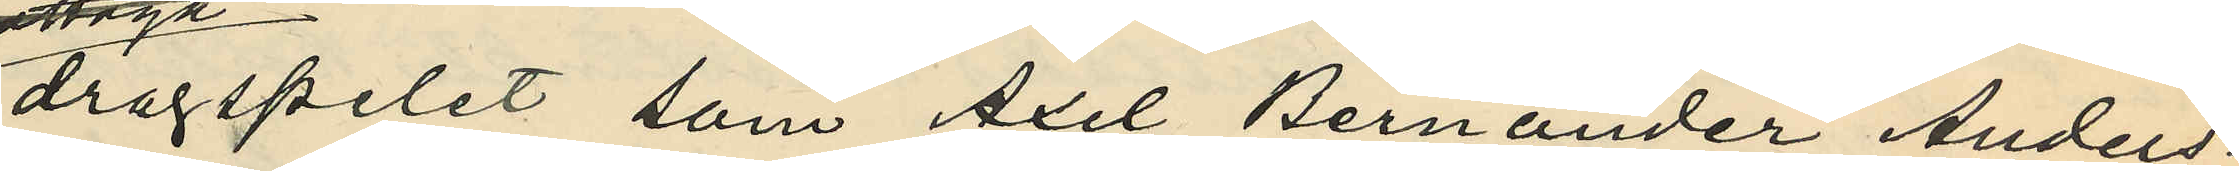dragspelet som Axel Bernander Anders¬
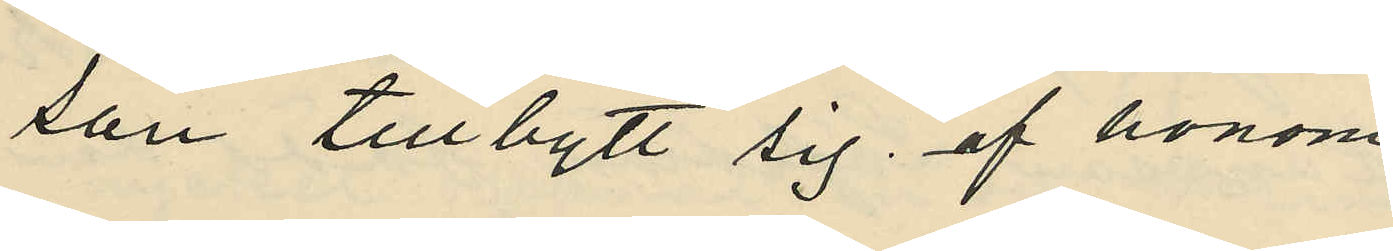son tillbytt sig af honom.
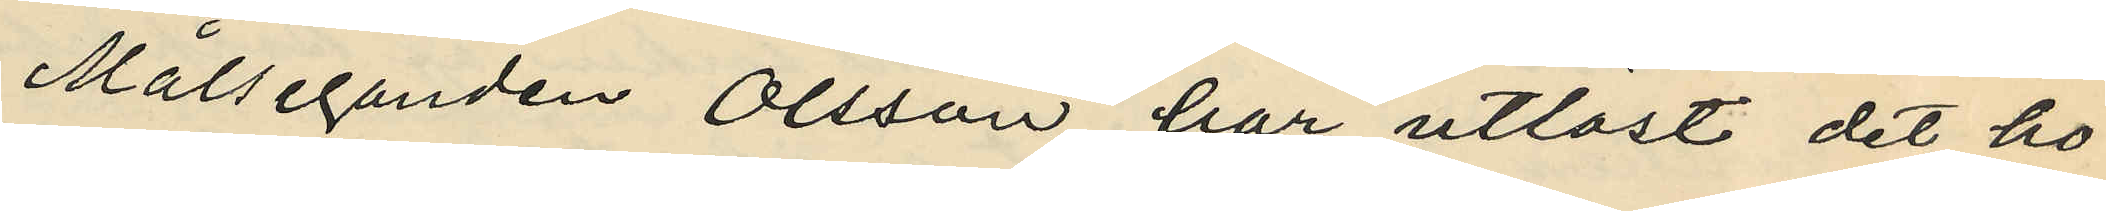Målseganden Olsson har utlöst det ho¬
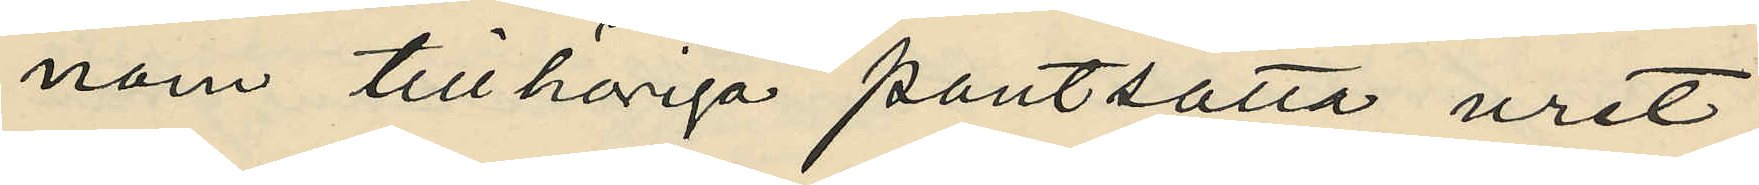nom tillhöriga pantsatta uret.
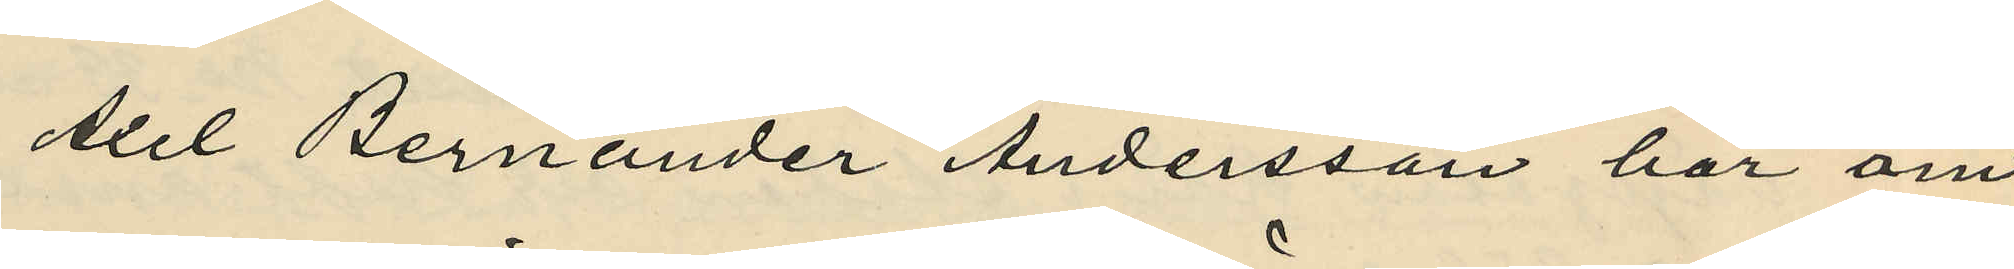Axel Bernander Andersson har om
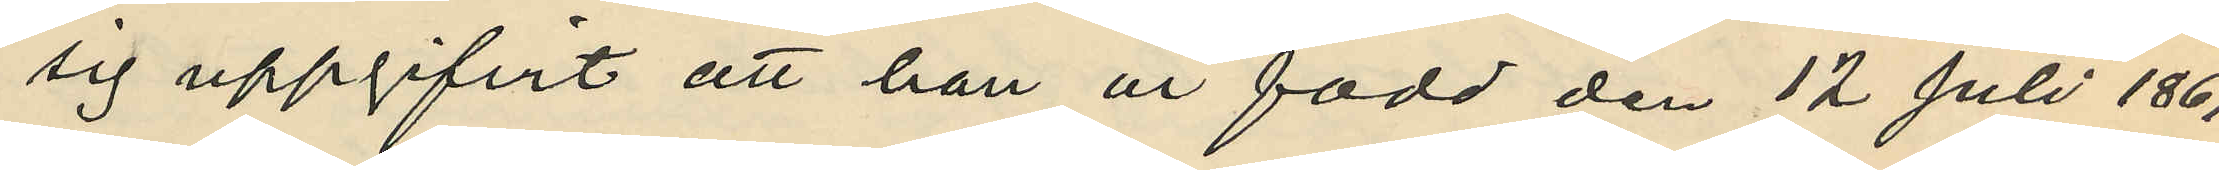sig uppgifvit att han är född den 12 Juli 1869
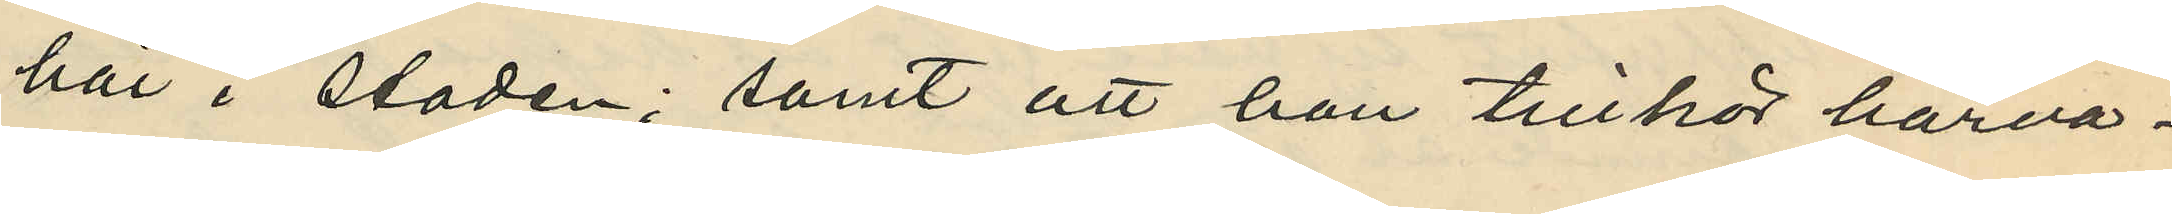här i staden; samt att han tillhör härva¬
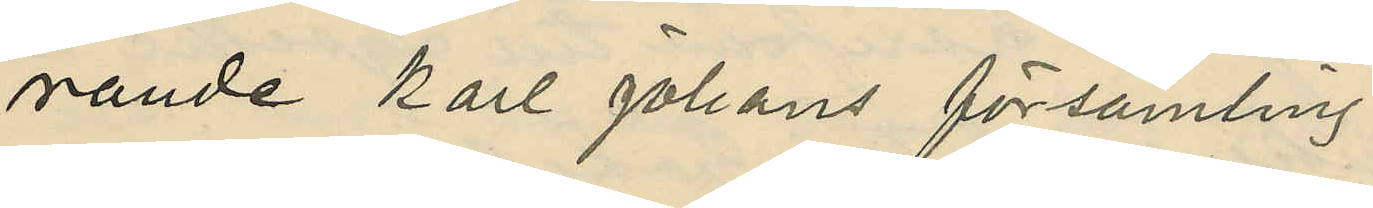rande Karl Johans församling.
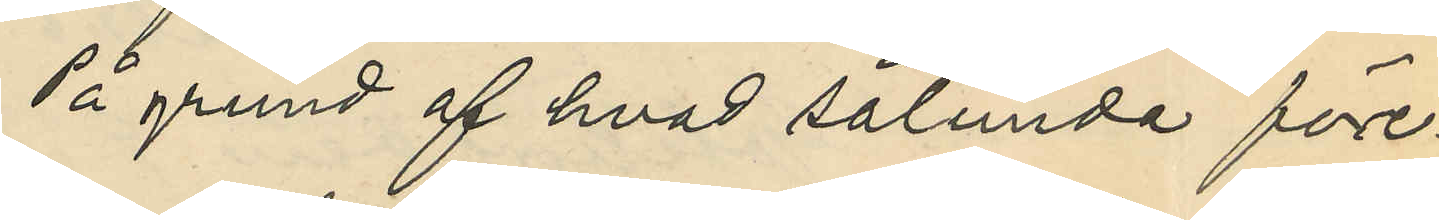På grund af hvad sålunda före¬
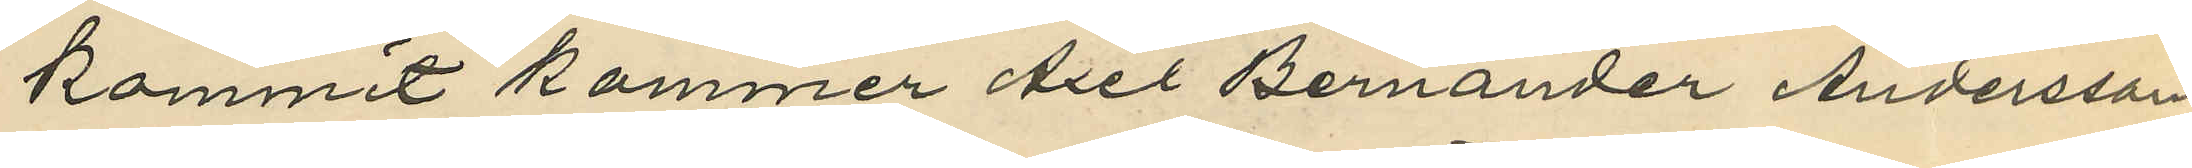kommit kommer Axel Bernander Andersson
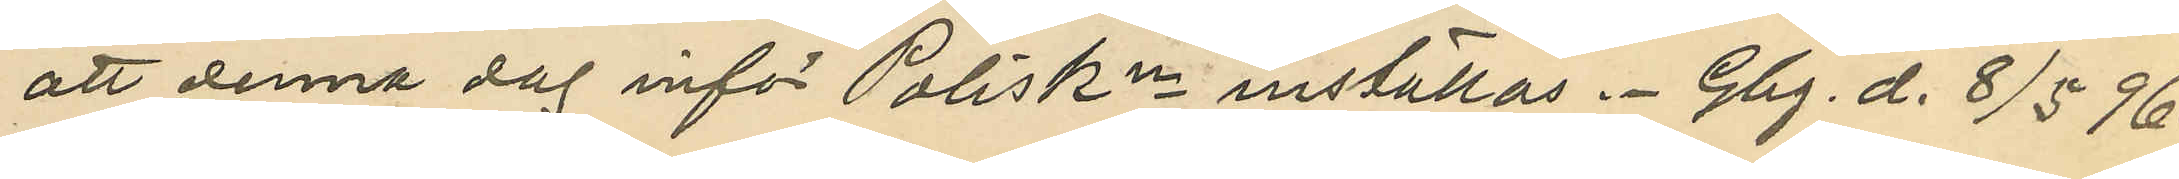att denna dag inför Poliskn inställas. Gbg. d. 8/5 96.
